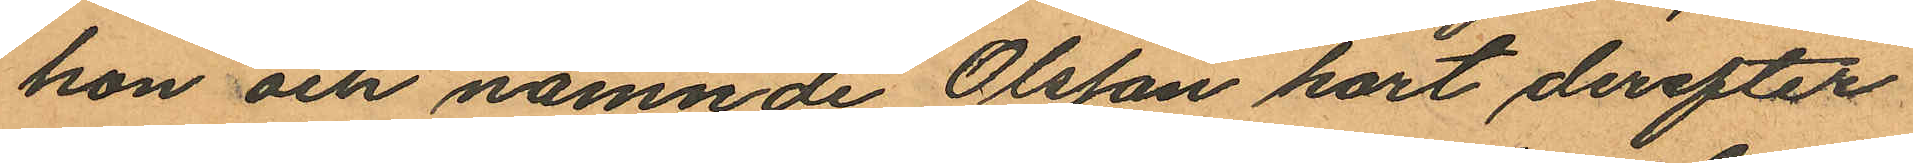hon och nämnde Olsson kort derefter
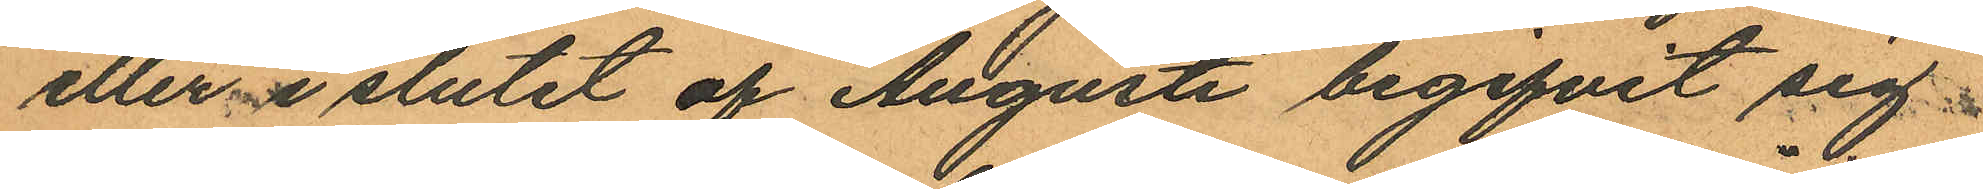eller i slutet af Augusti begifvit sig
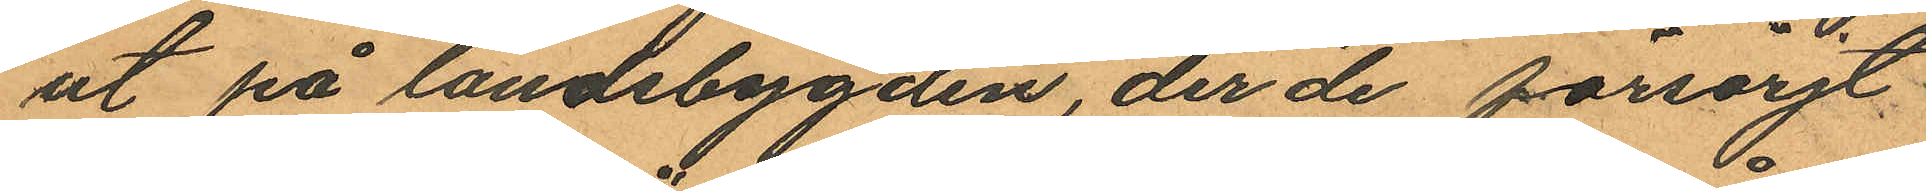ut på landsbygden, der de försörjt
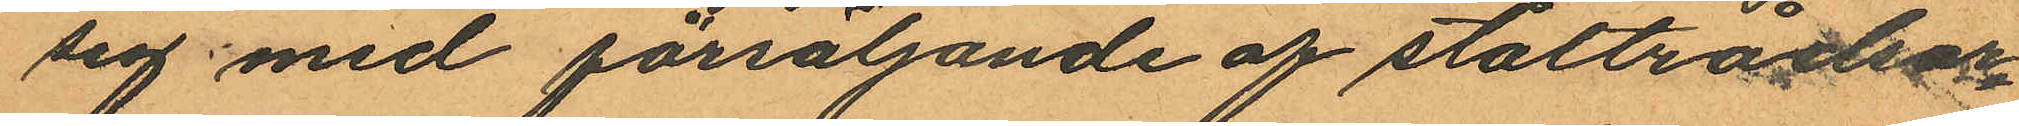sig med försäljande af ståltrådsar¬
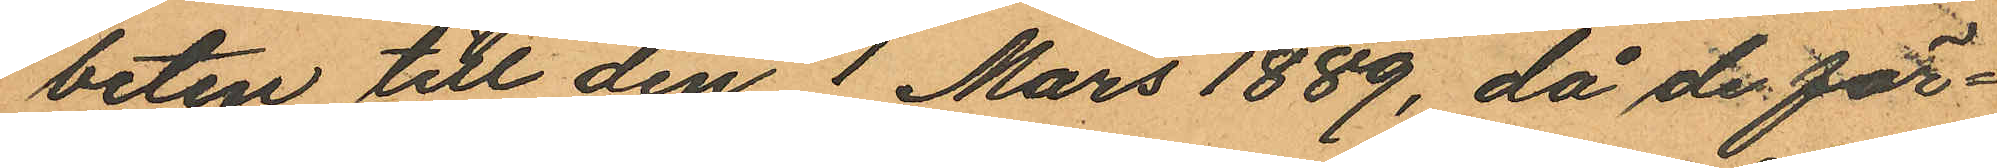beten till den 1 Mars 1889, då de för¬
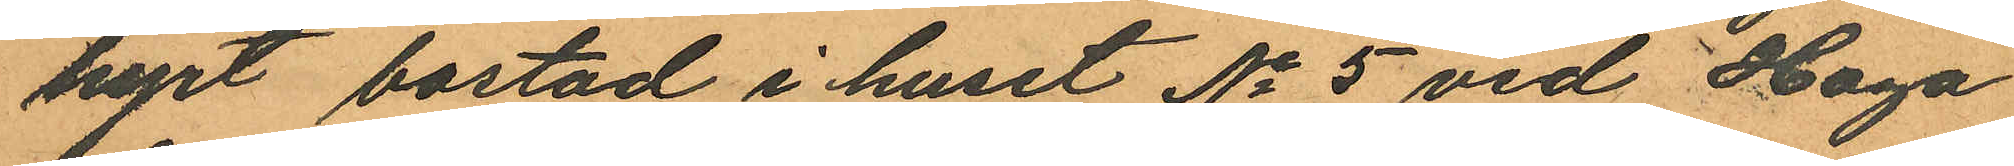hyrt bostad i huset No 5 vid Haga
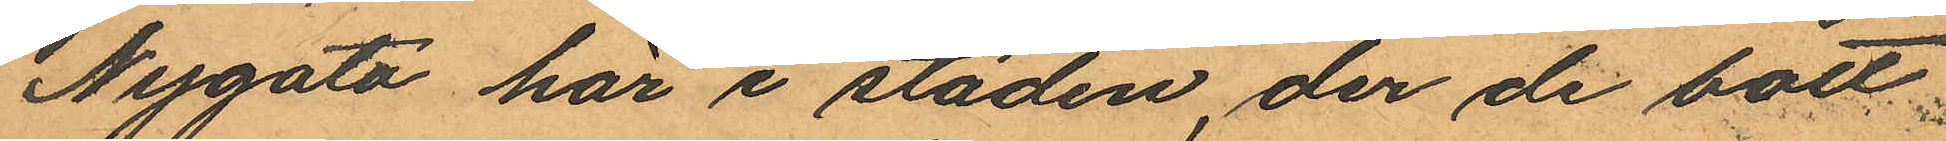Nygata här i staden, der de bott
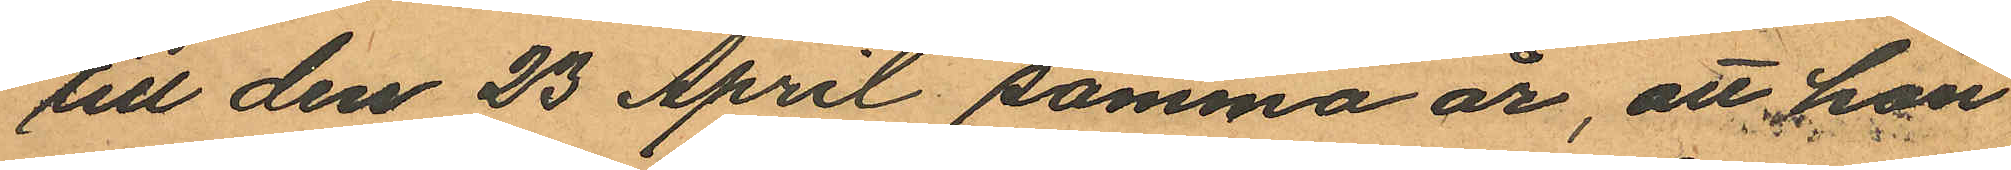till den 23 April samma år, att hon
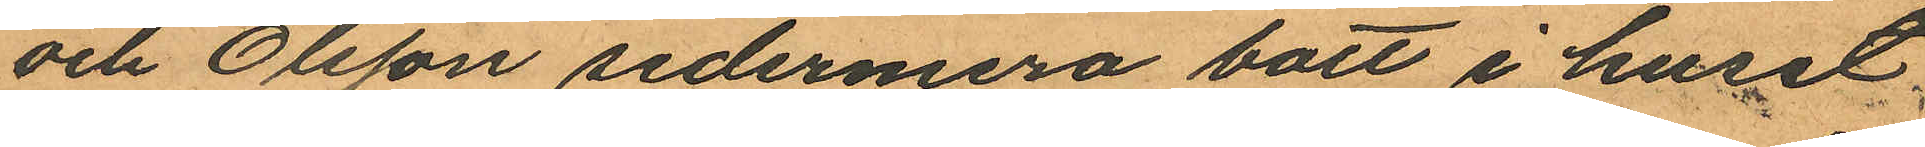och Olsson sedermera bott i huset
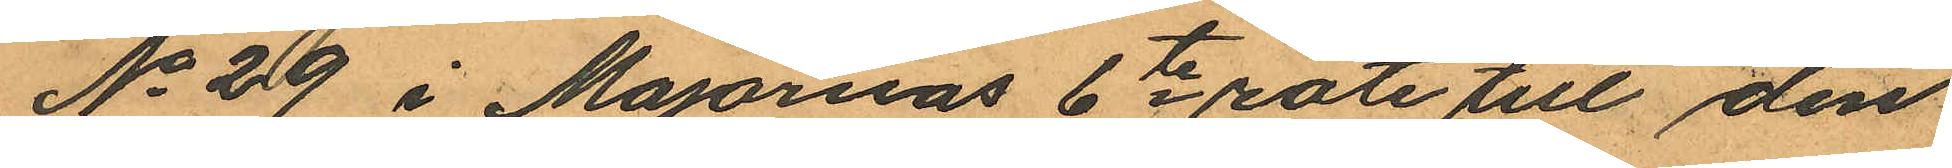No 29 i Majornas 6te rote till den
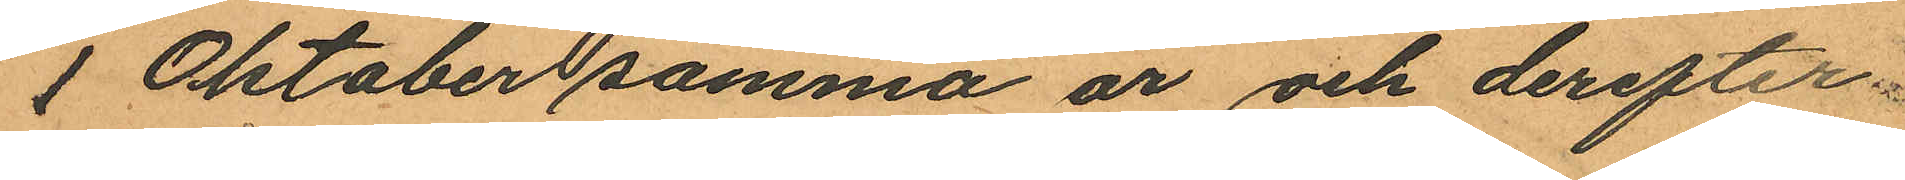 1 Oktober samma år och derefter
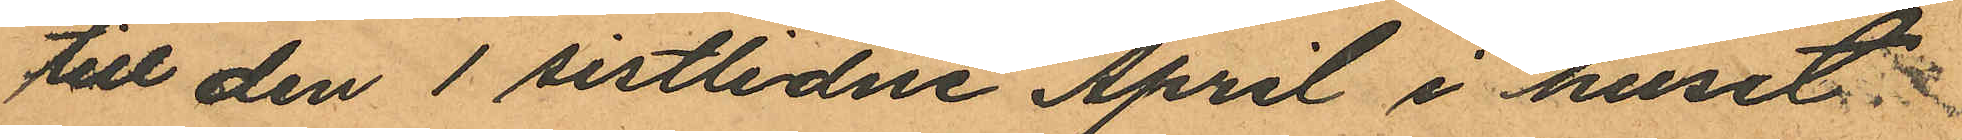till den 1 sistlidne April i huset
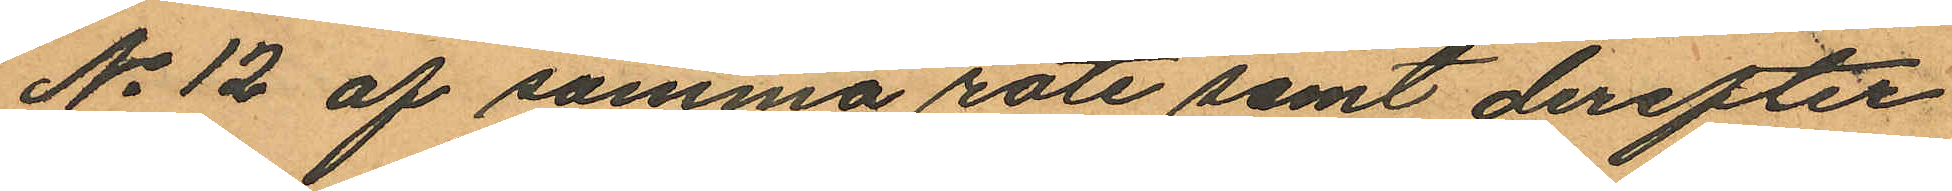No 12 af samma rote samt derefter
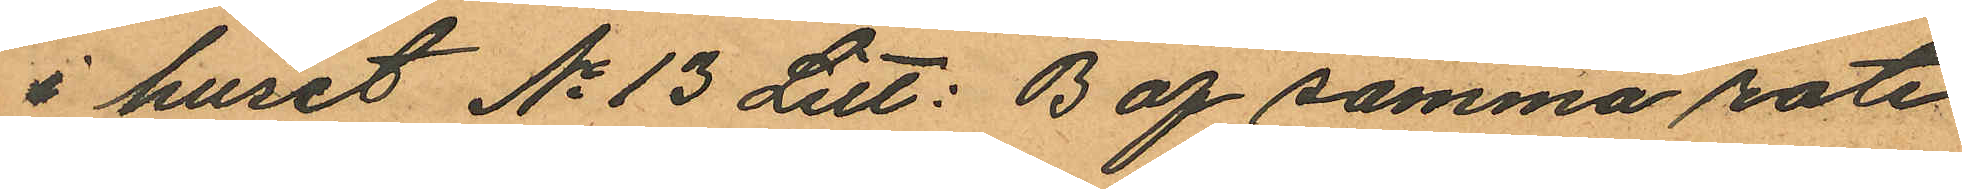i huset No 13 Litt: B af samma rote
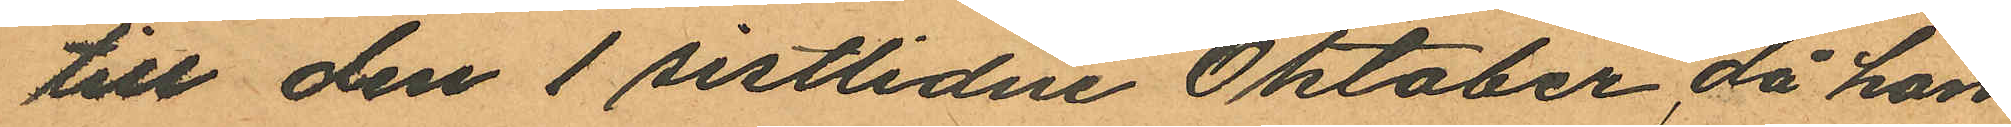till den 1 sistlidne Oktober, då hon
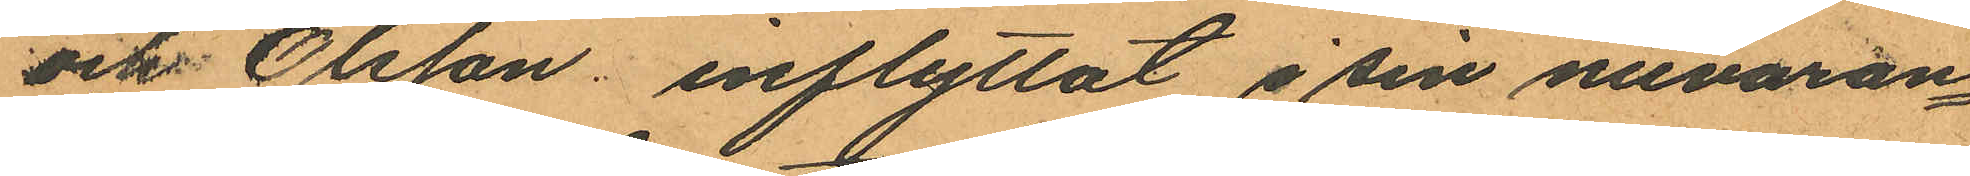och Olsson inflyttat i sin nuvaran¬
